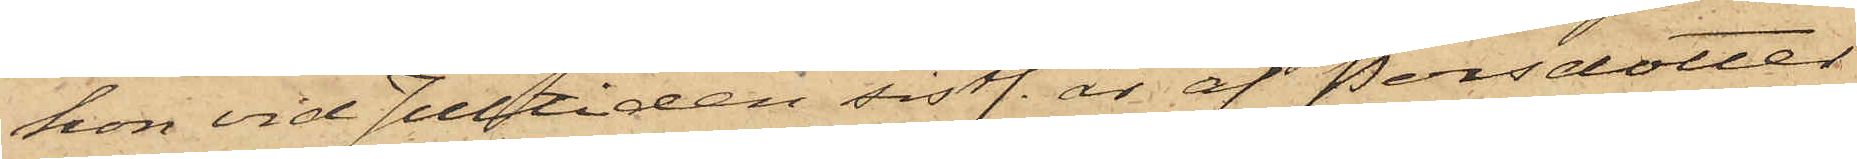hon vid Jultiden sistl. år af Persdotter
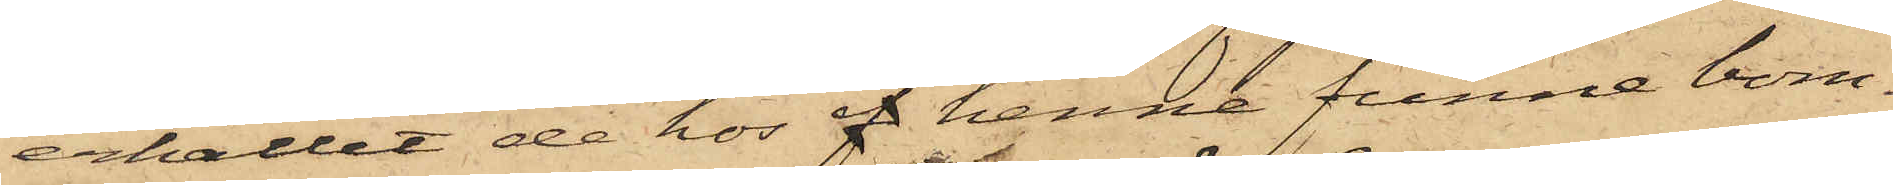erhållit de hos af henne funne bom¬
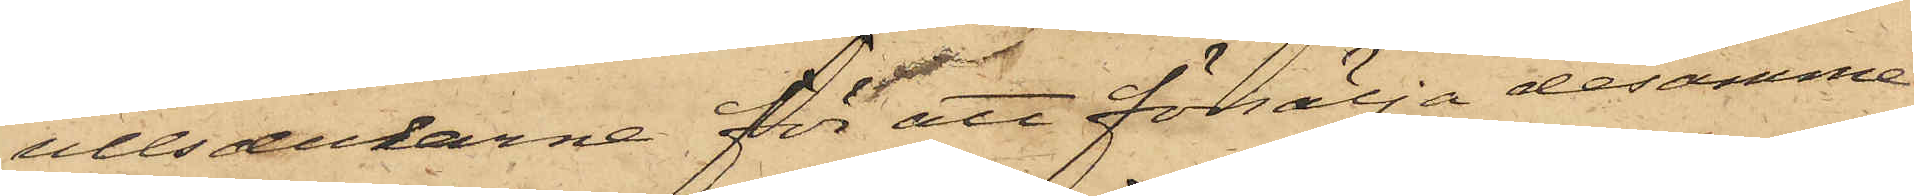ullsdukarna för att försälja desamma
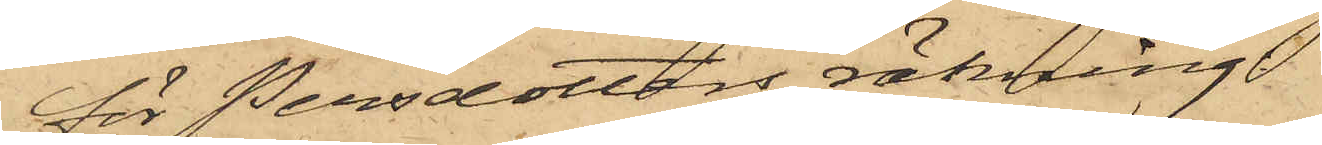för Persdotters räkning
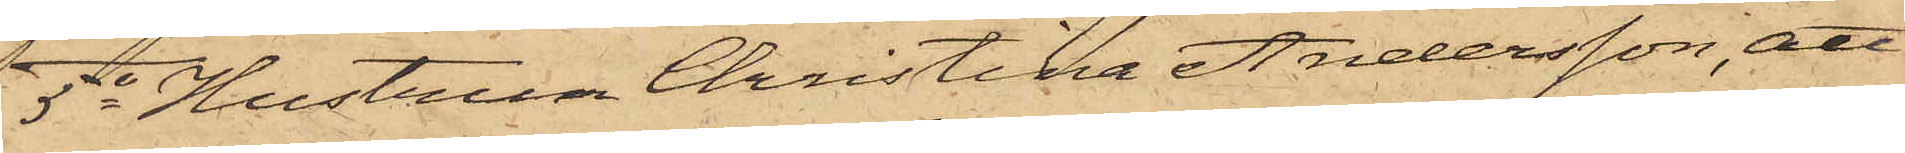5o Hustrun Christina Andersson, att
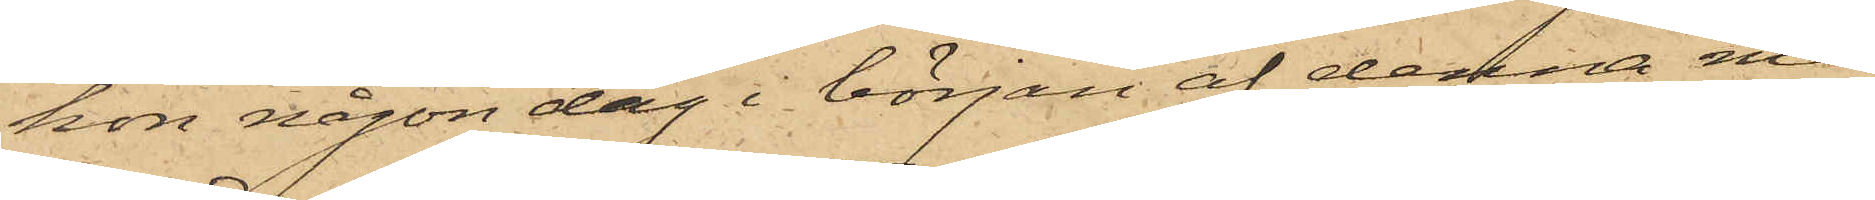hon någon dag i början af denna må¬
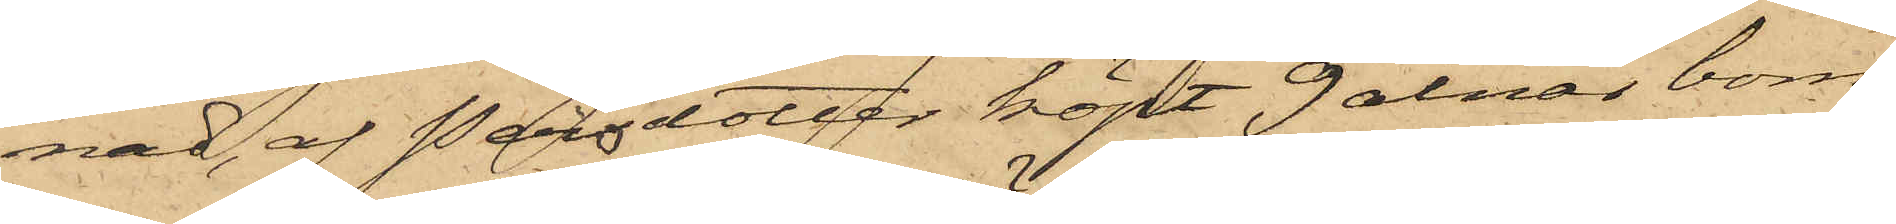nad, af Persdotter köpt 9 alnar bom¬
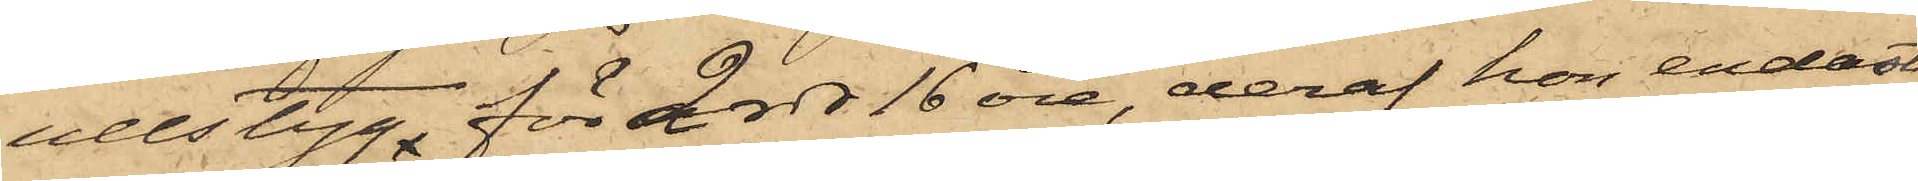ullstyg, för 2 rdr 16 öre, deraf hon endast
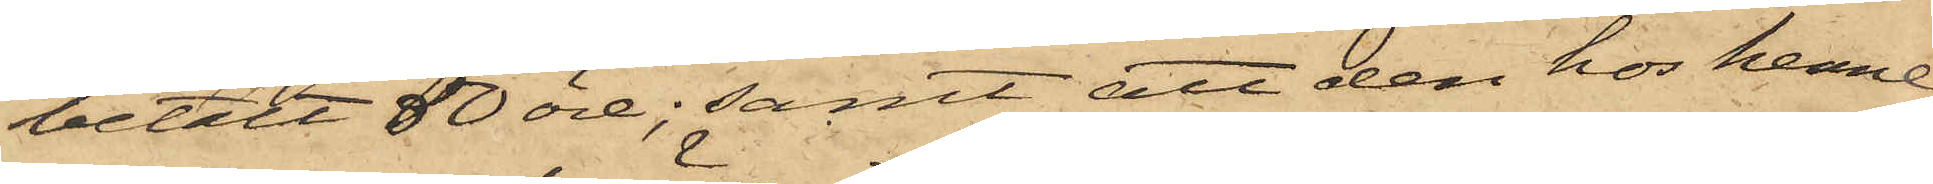betalt 50 öre; samt att den hos henne
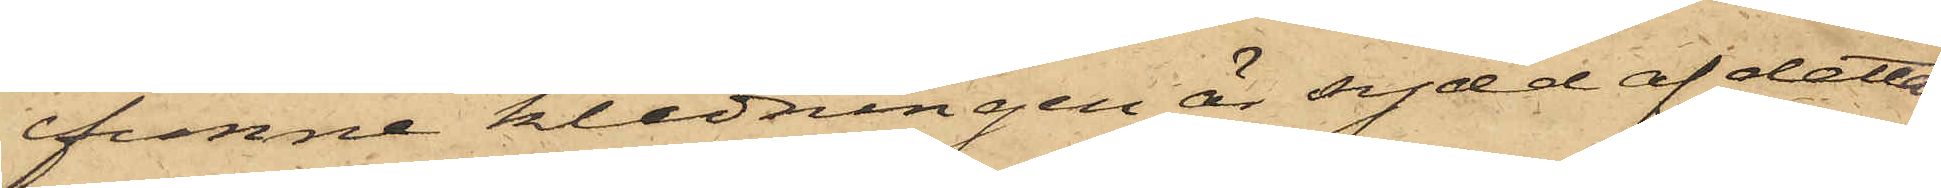funne klädningen är sydd af detta
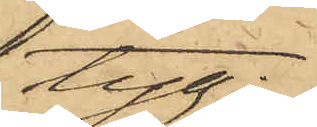tyg;
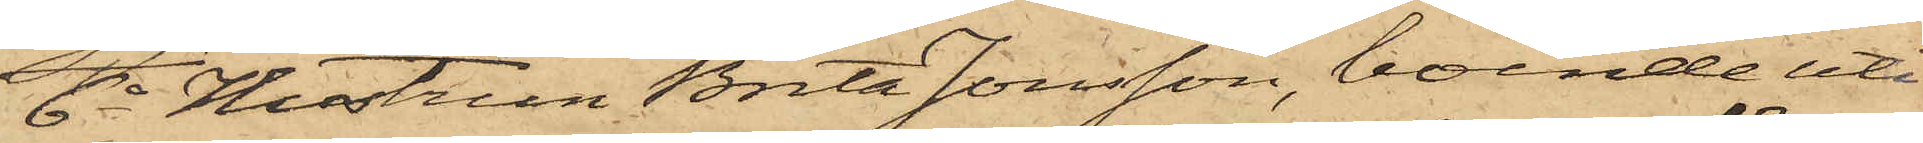6o Hustrun Brita Jonsson, boende uti
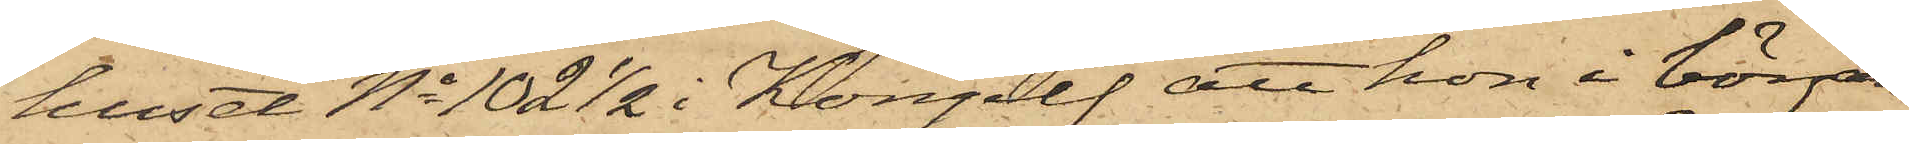huset No 102 1/2 i Kongelf att hon i början
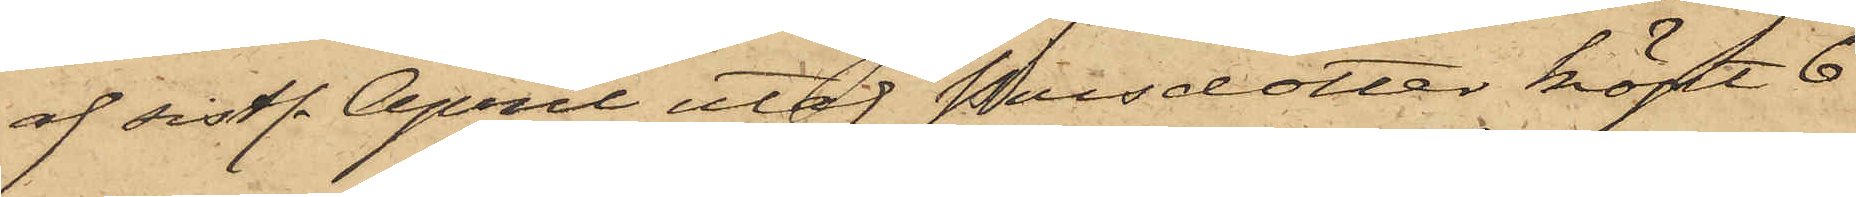af sistl. April utaf Persdotter köpt 6
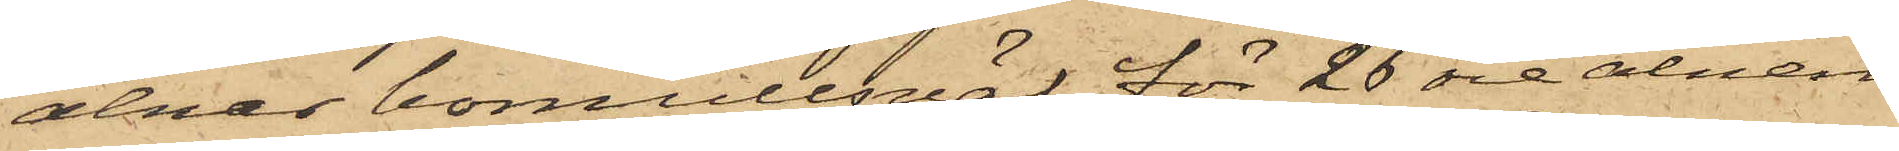alnar bomullsväf för 26 öre alnen,
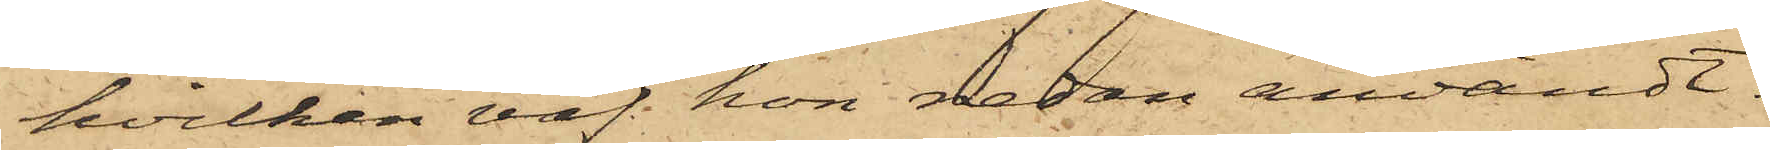hvilken väf hon redan användt.
